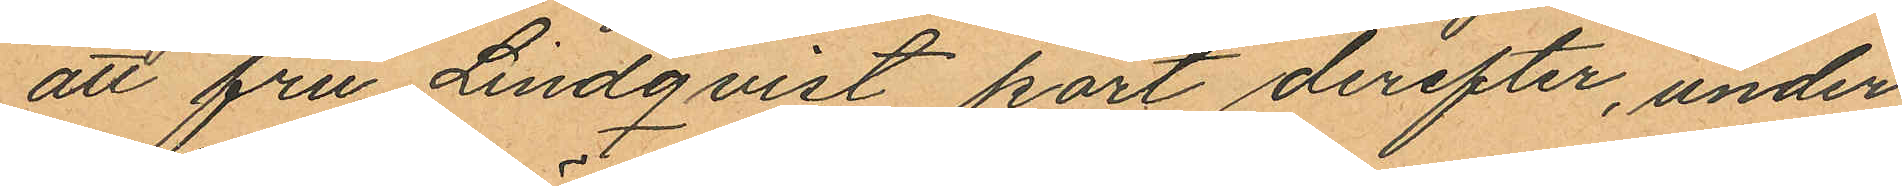att fru Lindqvist kort derefter, under
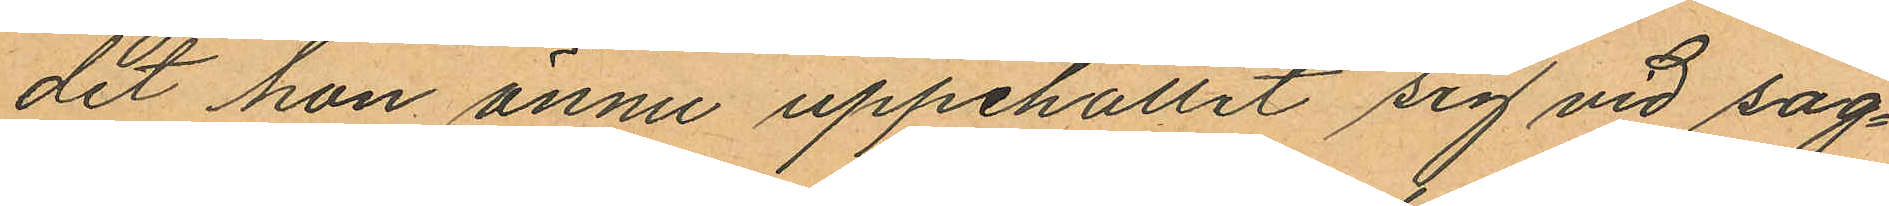det hon ännu uppehållit sig vid sag¬
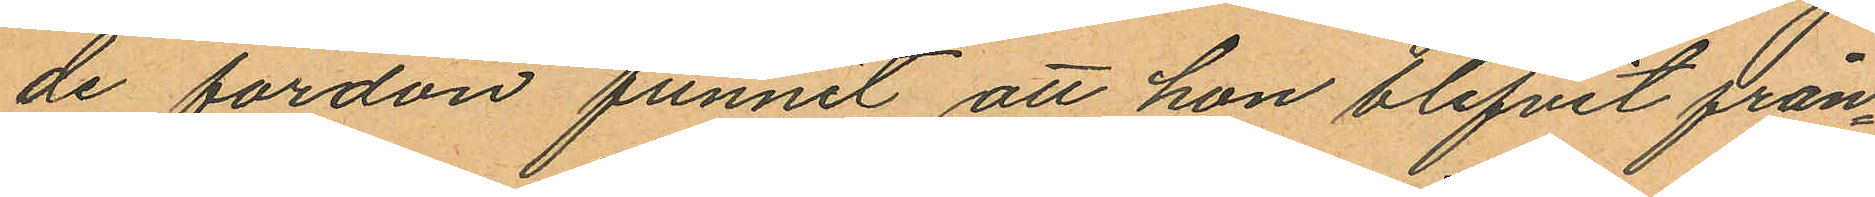de fordon funnit att hon blifvit från¬
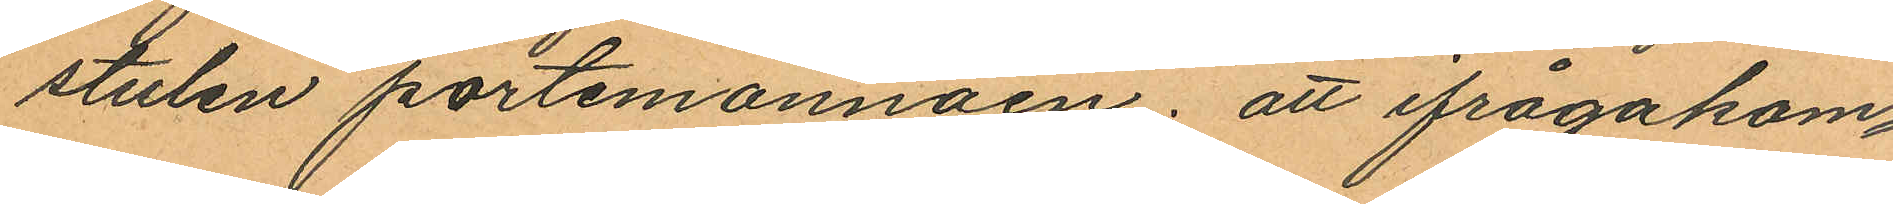stulen portemonnäen; att ifrågakom¬
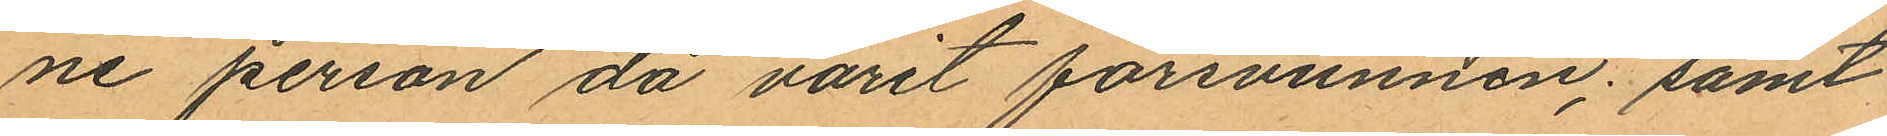ne person då varit försvunnen; samt
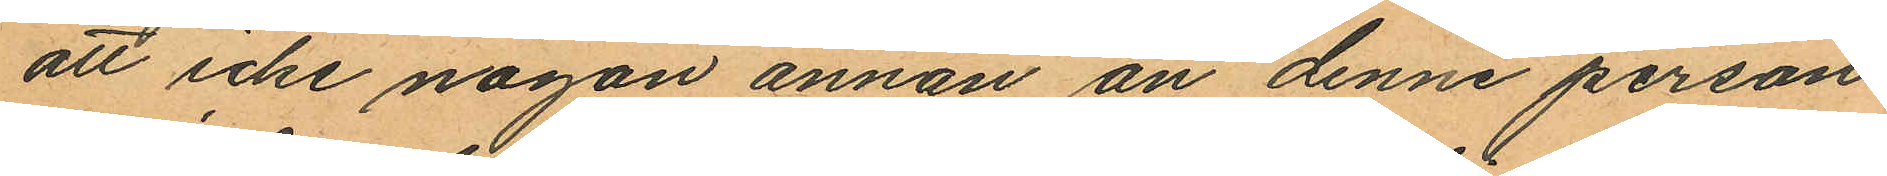att icke någon annan än denne person
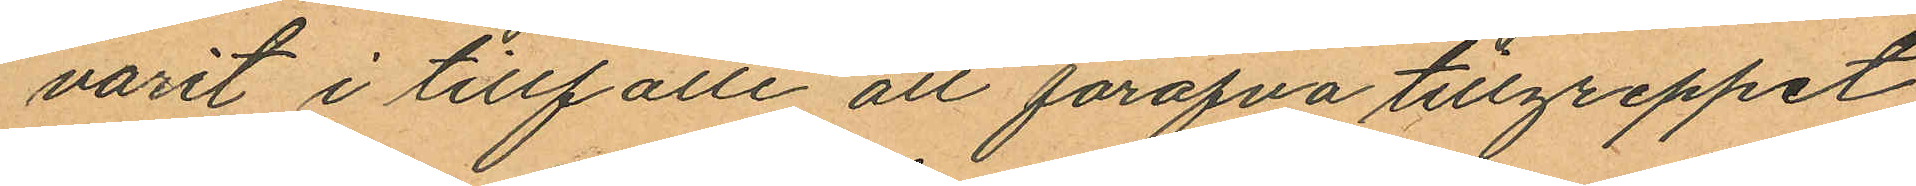varit i tillfälle att föröfva tillgreppet
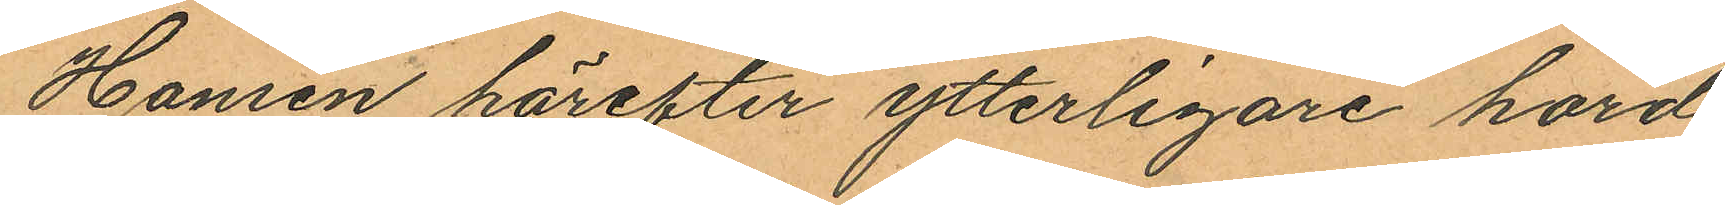Hansen härefter ytterligare hörd
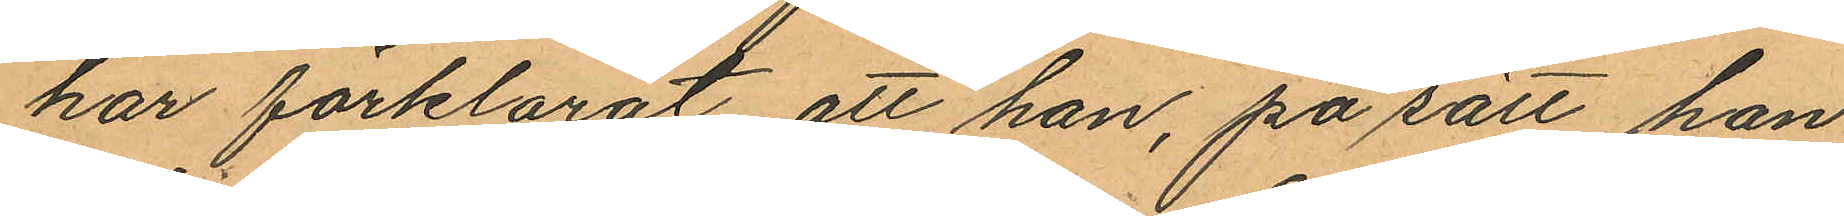har förklarat att han, på sätt han
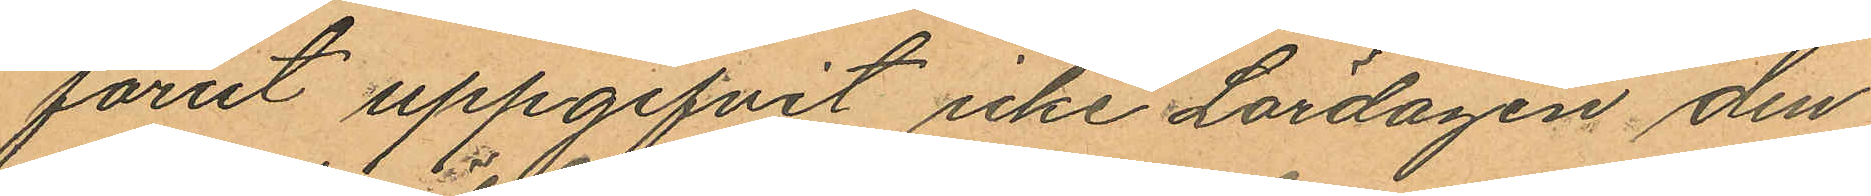förut uppgifvit icke Lördagen den
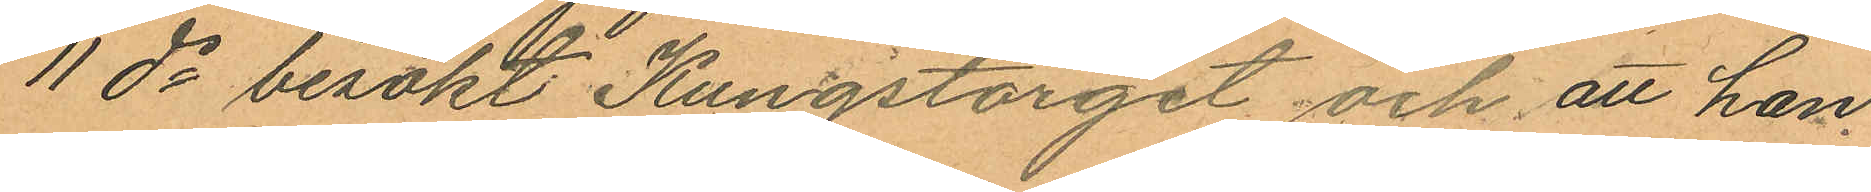11 ds besökt Kungstorget och att han
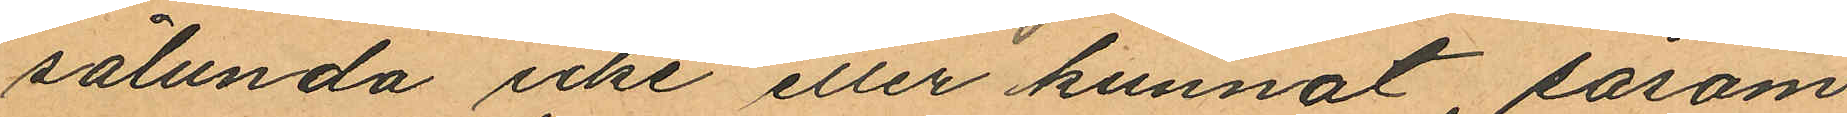sålunda icke eller kunnat, såsom
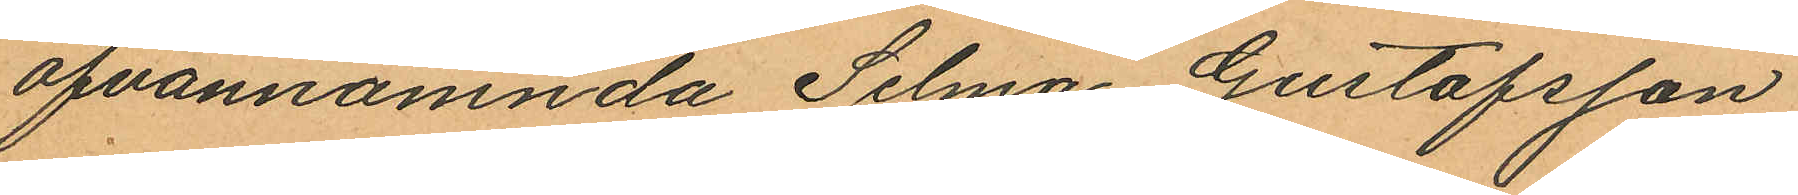ofvannämnda Selma Gustafsson
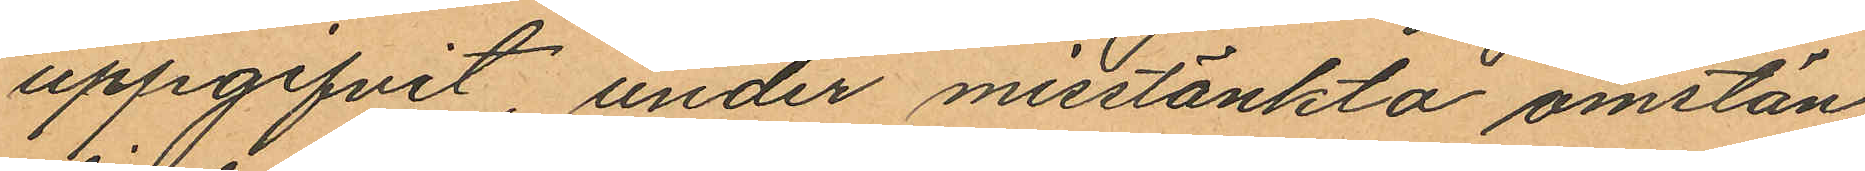uppgifvit, under misstänkta omstän¬
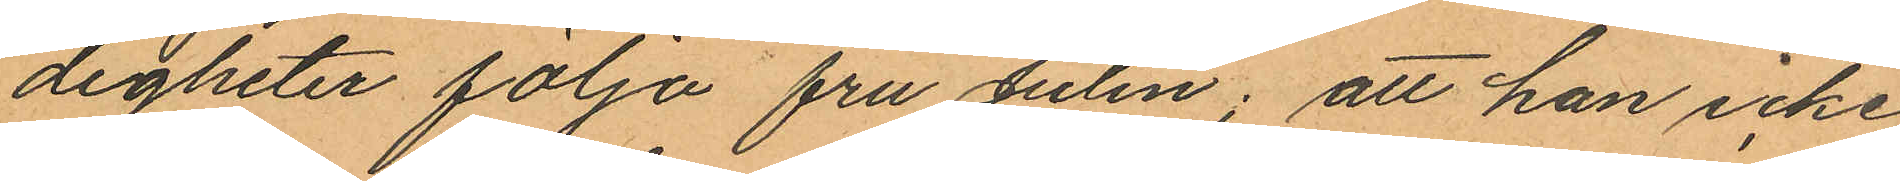digheter följa fru Julin; att han icke
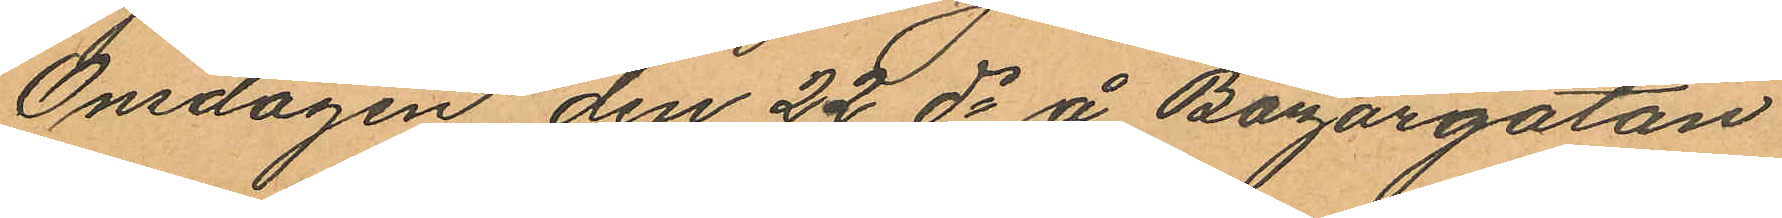Onsdagen den 22 ds å Bazargatan
